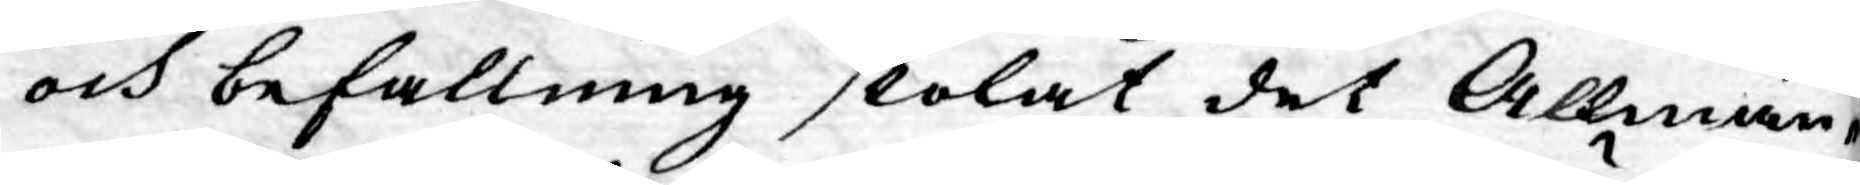och befallning skolat det Allmän¬
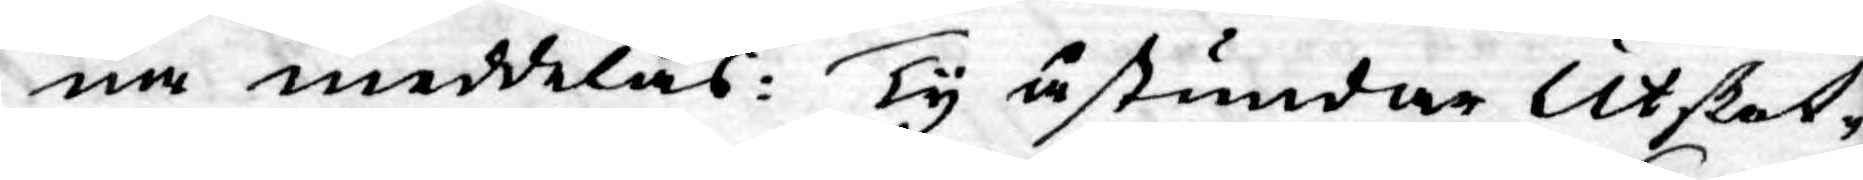na meddelas: Ty åstundar Utskot¬
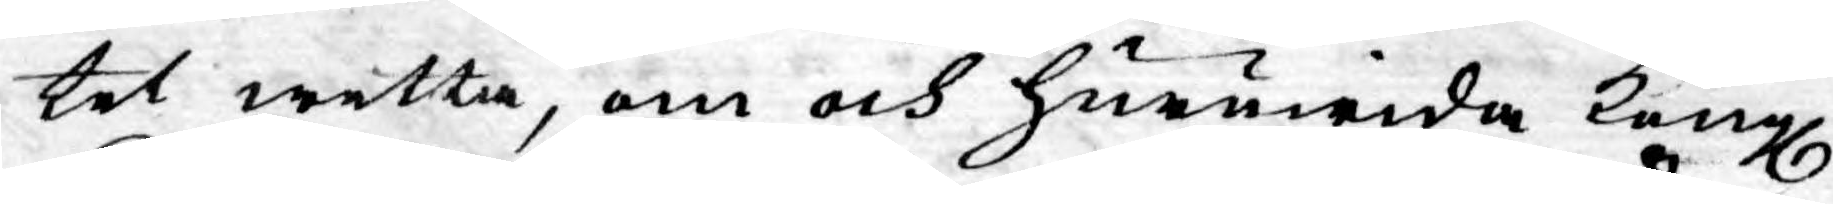tet wetta, om och huruwida Kongl.
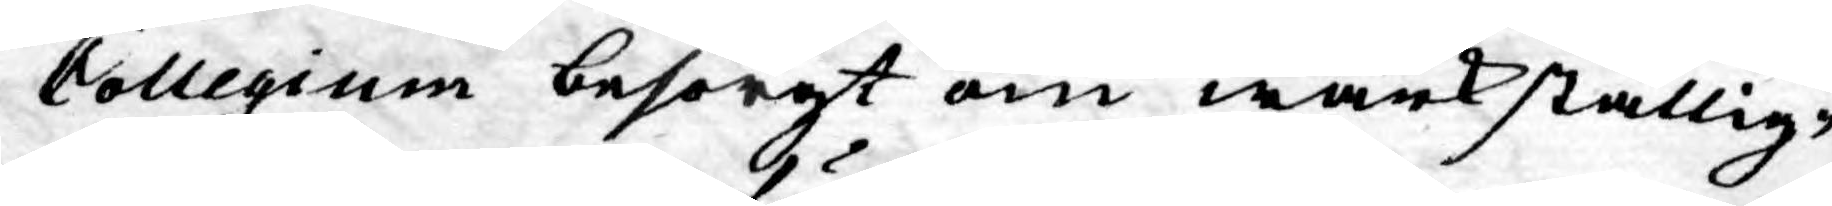Collegium besörgt om wärkställig¬
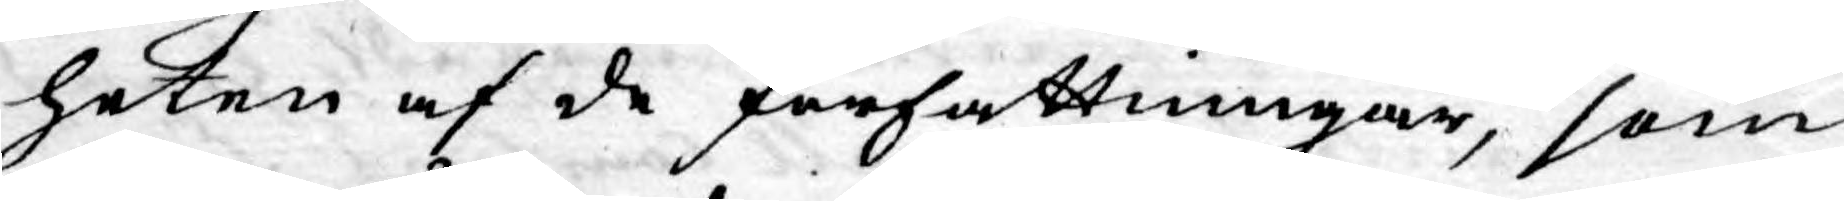heten af de författningar, som
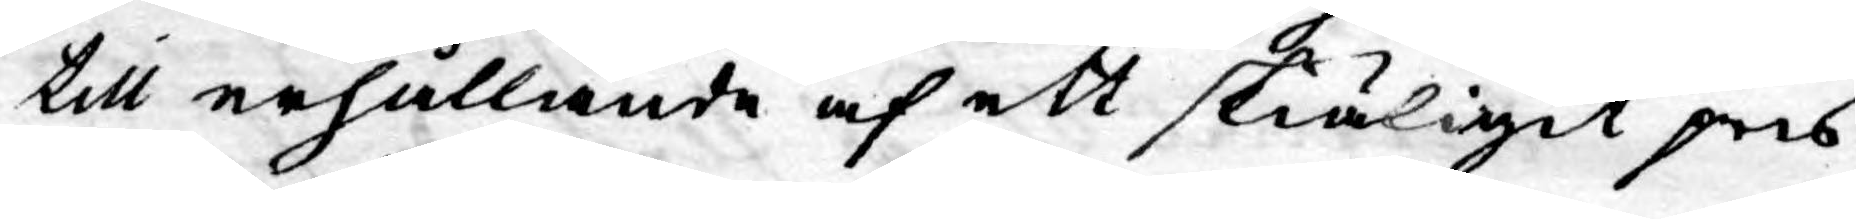till erhållande af ett skiäligit pris
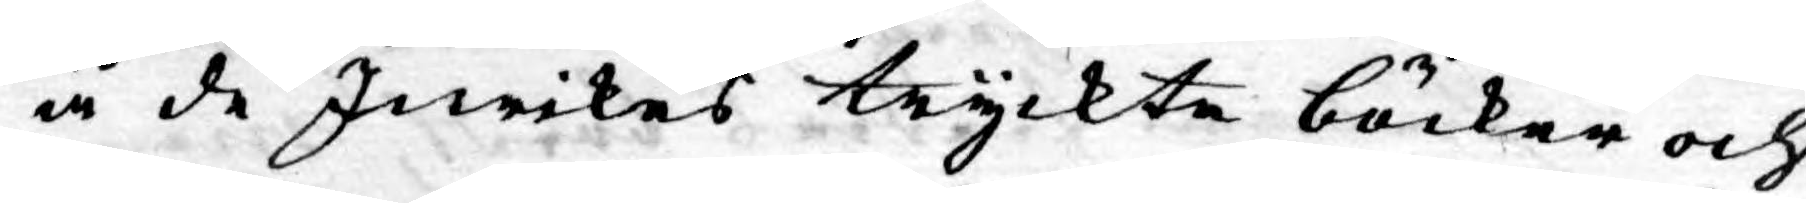å de Inrikes tryckte böcker och
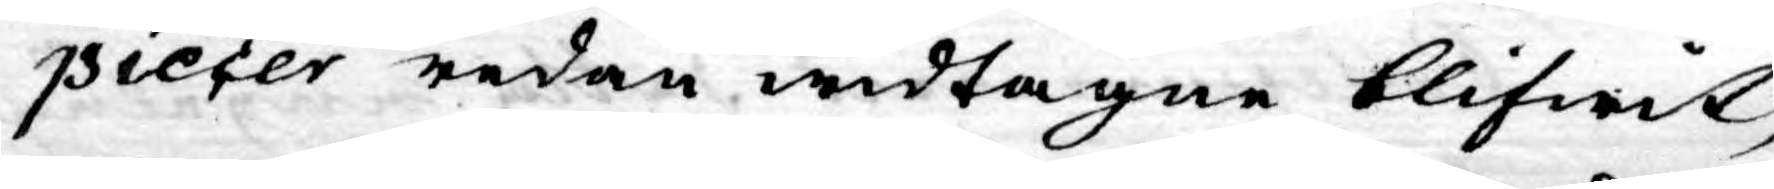piecer redan widtagne blifwit,
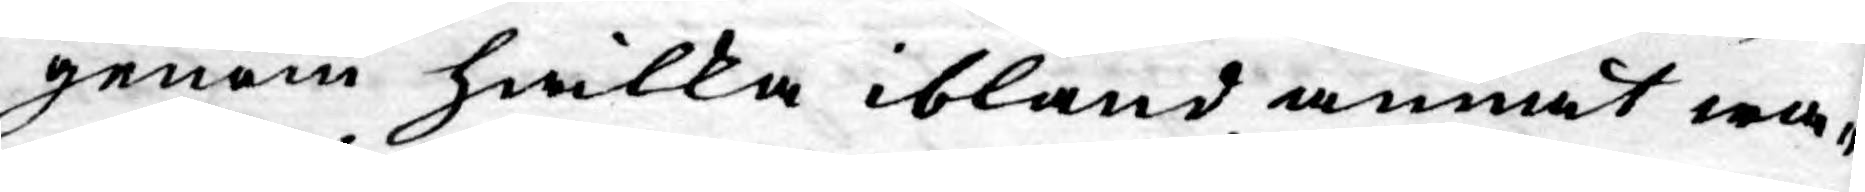genom hwilka ibland annat wa¬
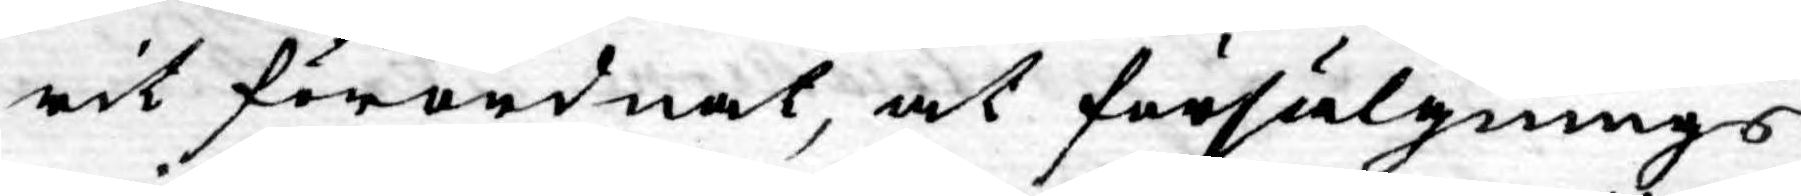rit förordnat, at försälgnings
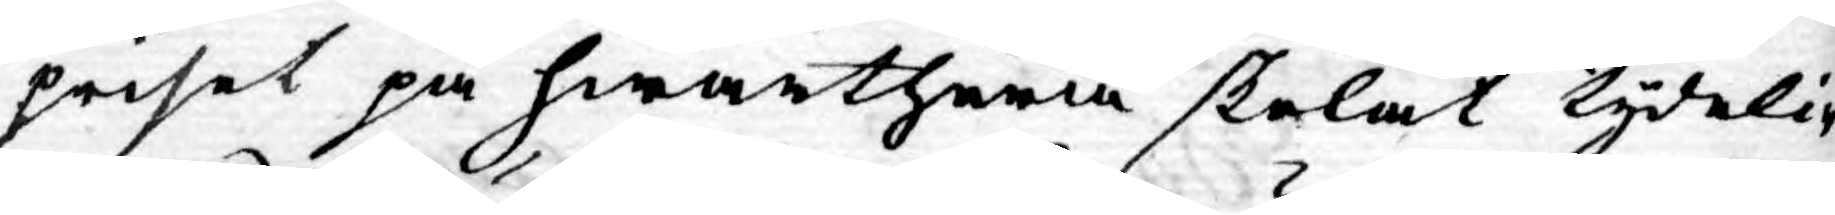priset på hwarthera skolat tydelig¬
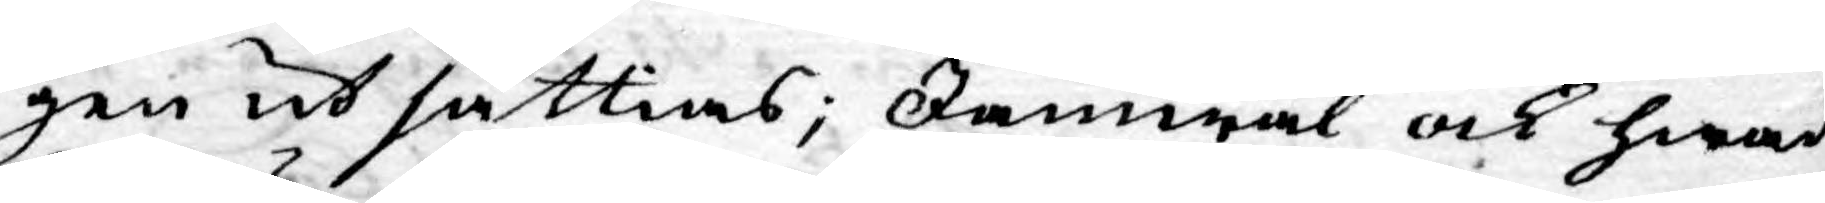gen ut sättias; Jämwäl ock hwad
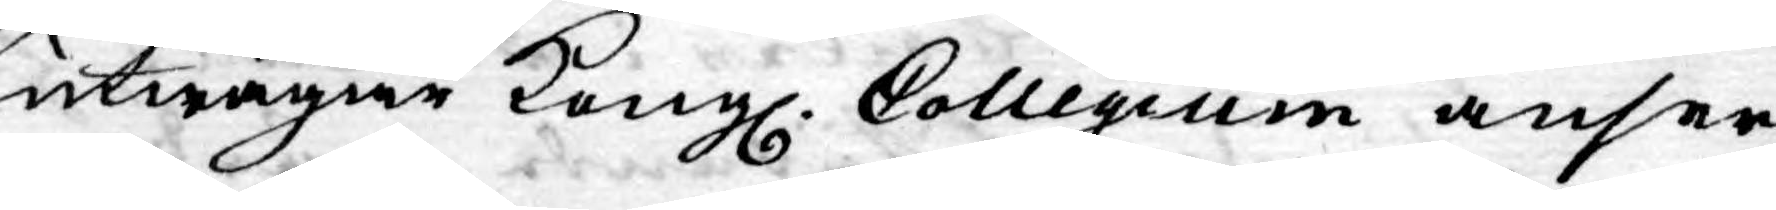utwägar Kongl. Collegium anser
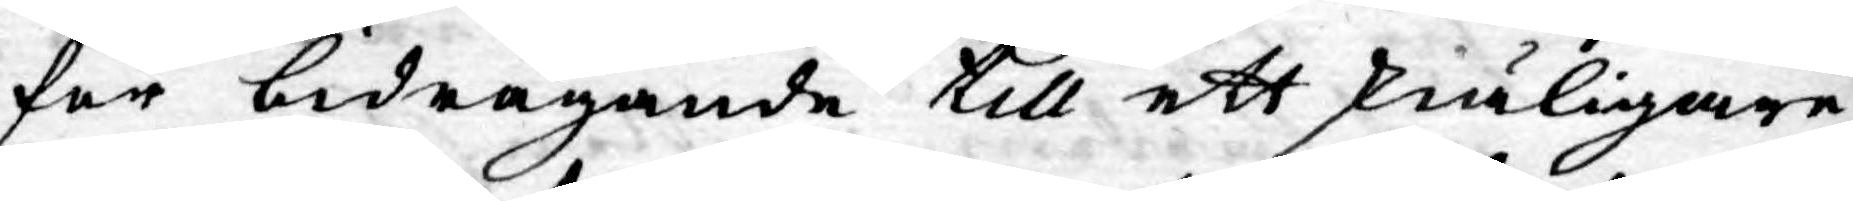för bidragande till ett skiäligare
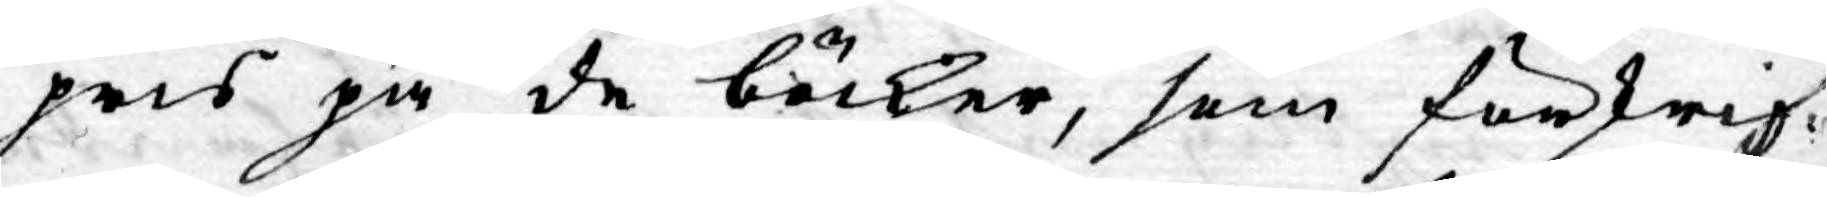pris på de böcker, som förskrif¬
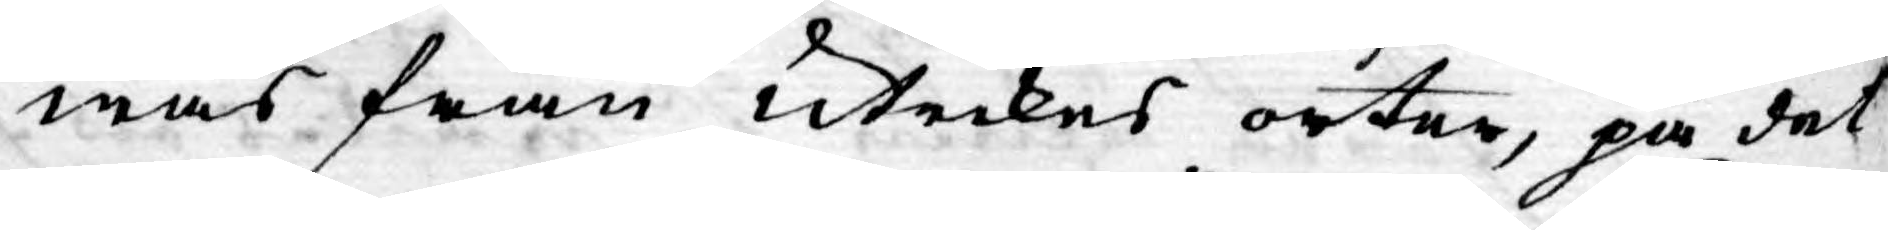was från Utrikes orter, på det
